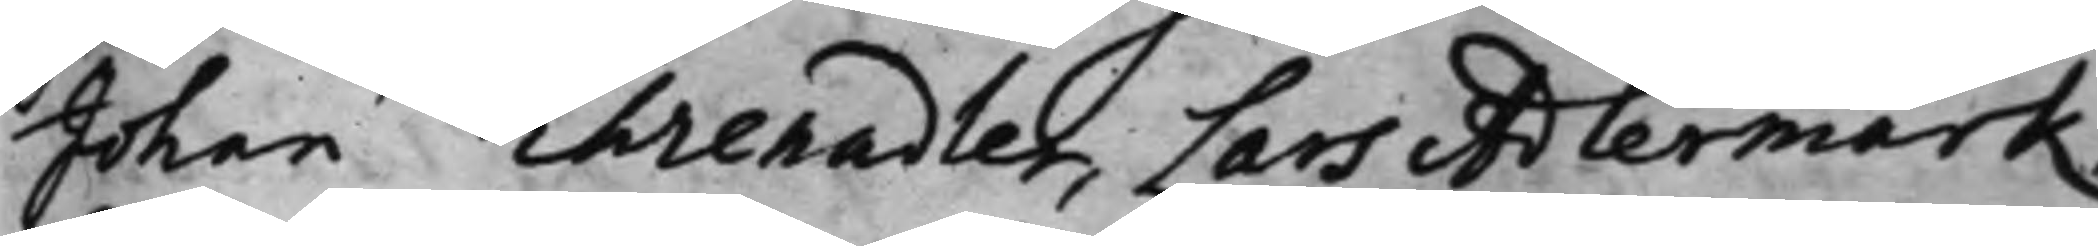Johan Ehrenadler, Lars Adlermark,
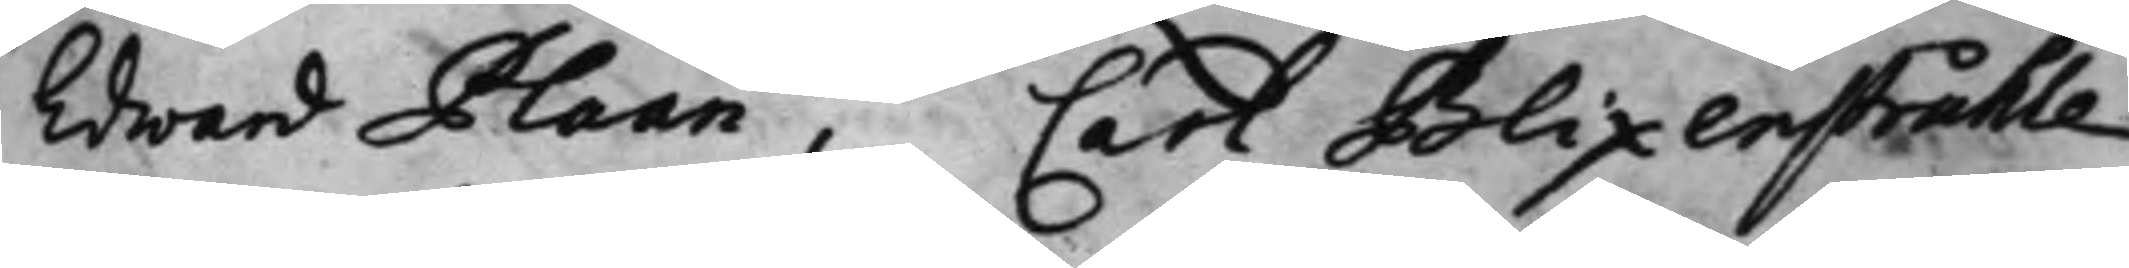Edward Plaan, Carl Blixenstråhle,
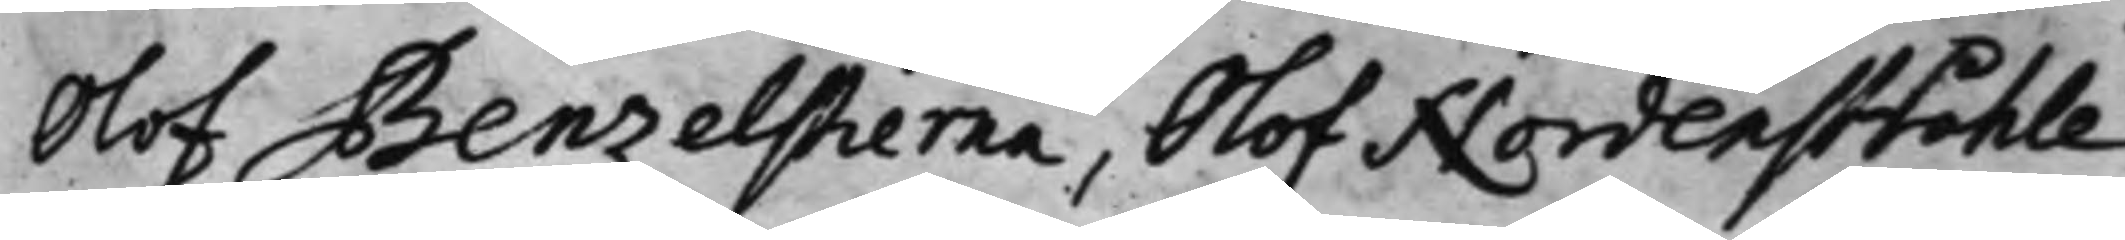Olof Benzelstierna, Olof Nordenstråhle,
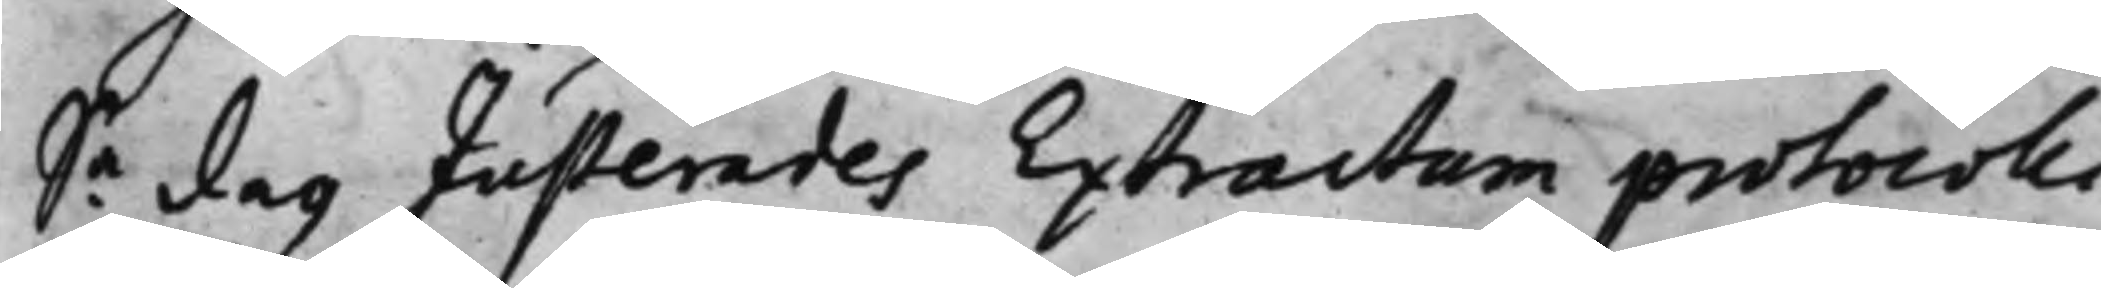Sa dag Justerades Extractum protocolli 
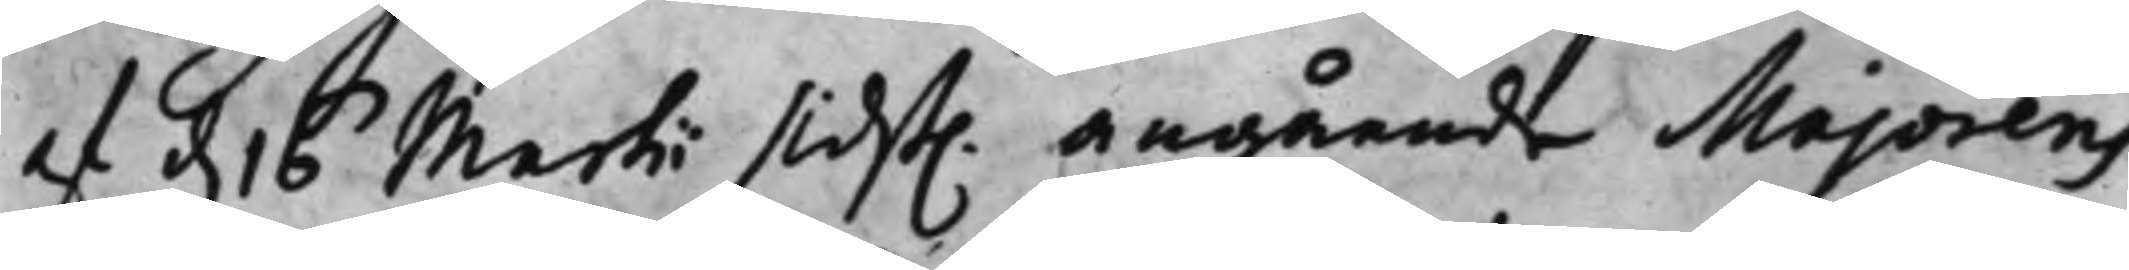af d. 16 Martii sidst. angående Majorens 
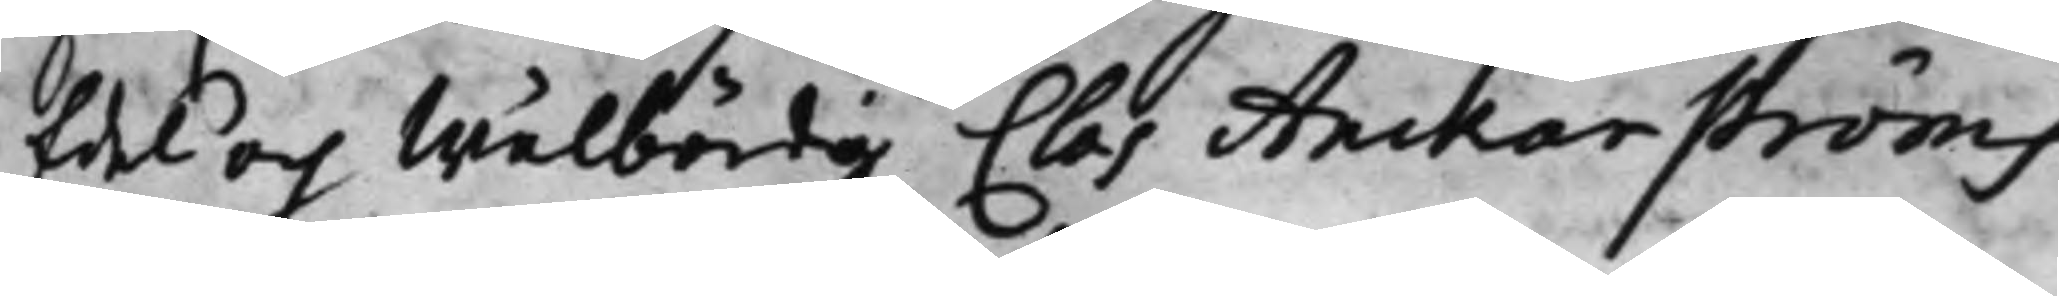Edel och Wälbördig Clas Anckarströms
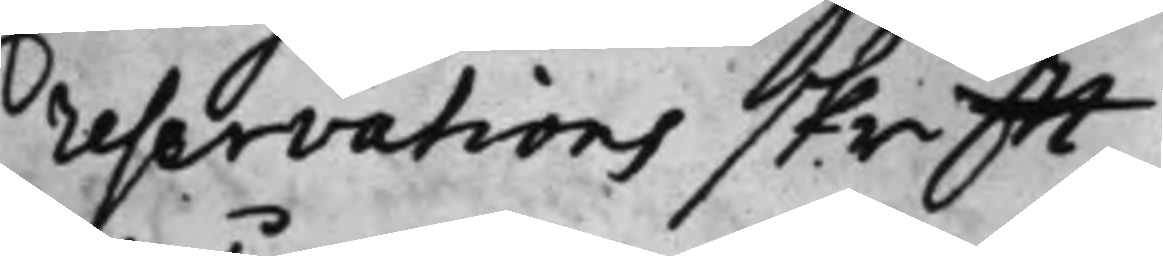reservations skrifft.
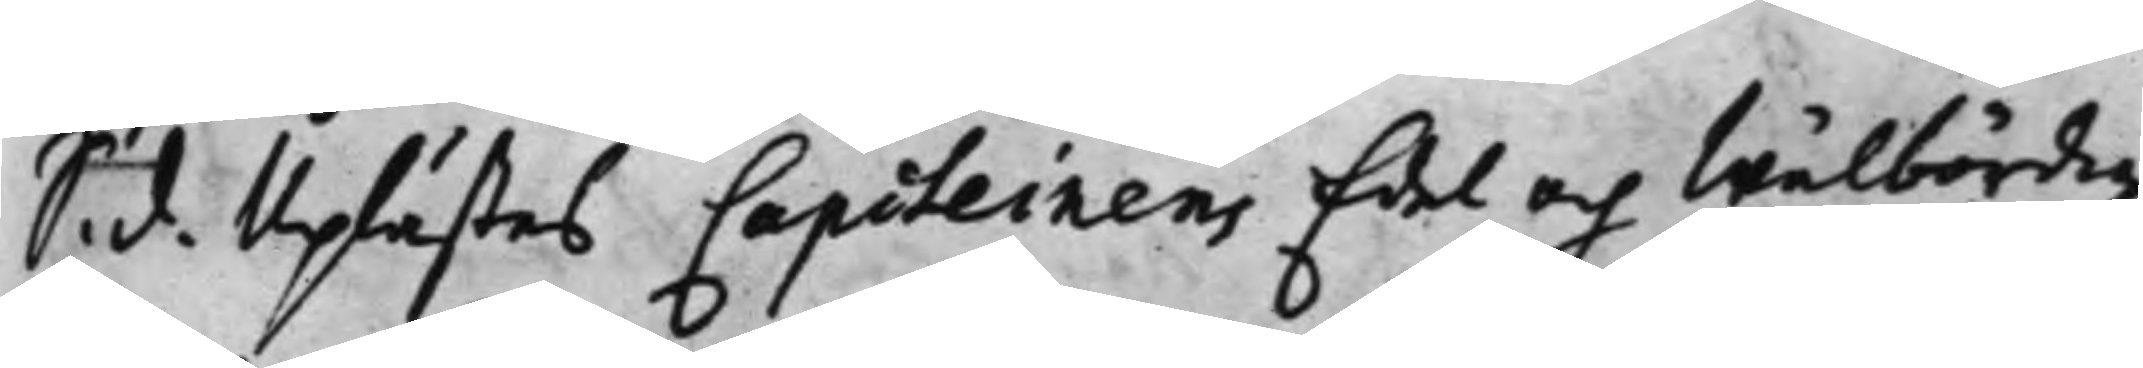S. d. Uplästes Capiteinens Edel och Wälbördig 
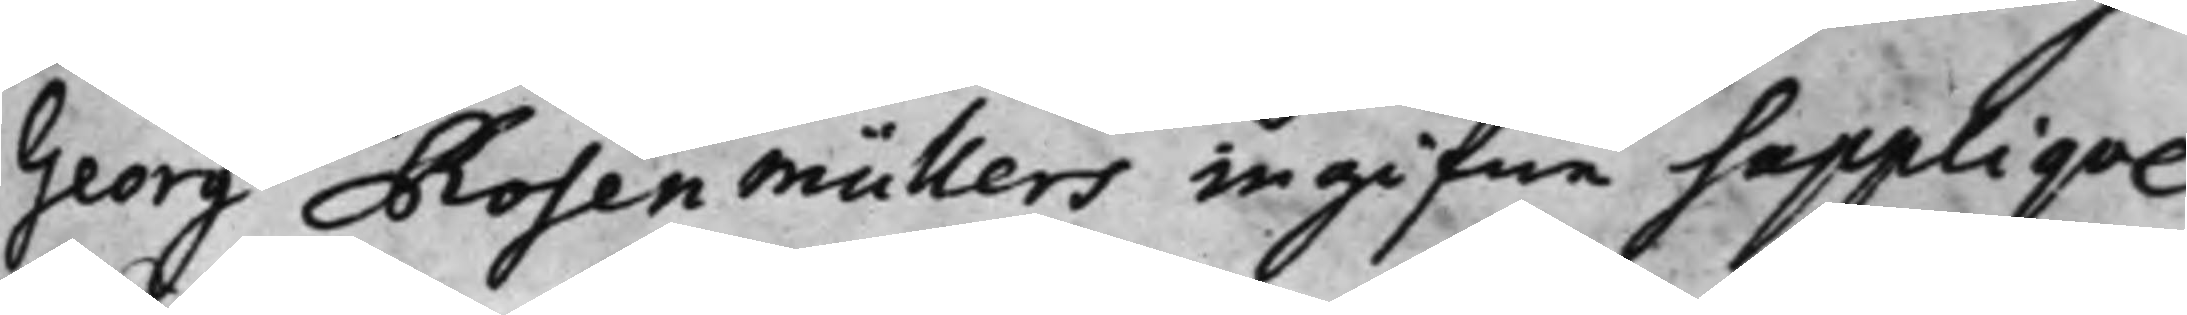Georg Rosenmüllers ingifne Suppliqve
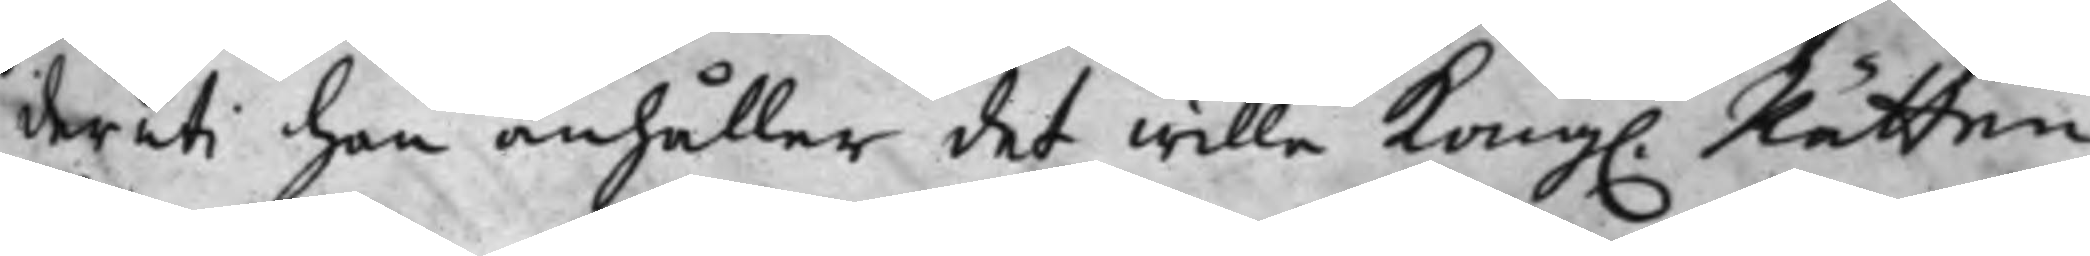deruti han anhåller det wille Kong. Rätten 
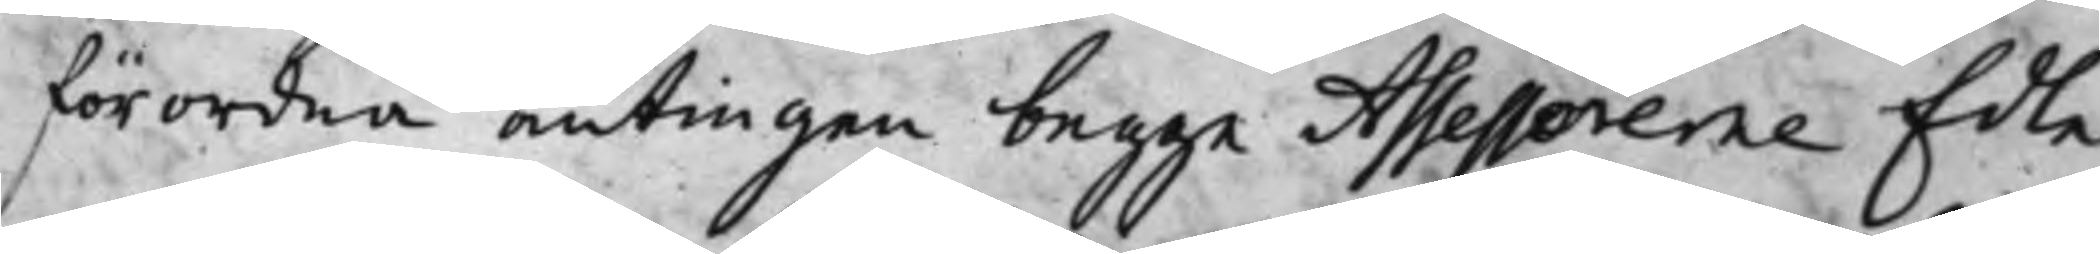förordna antingen begge Assessorerne Edle
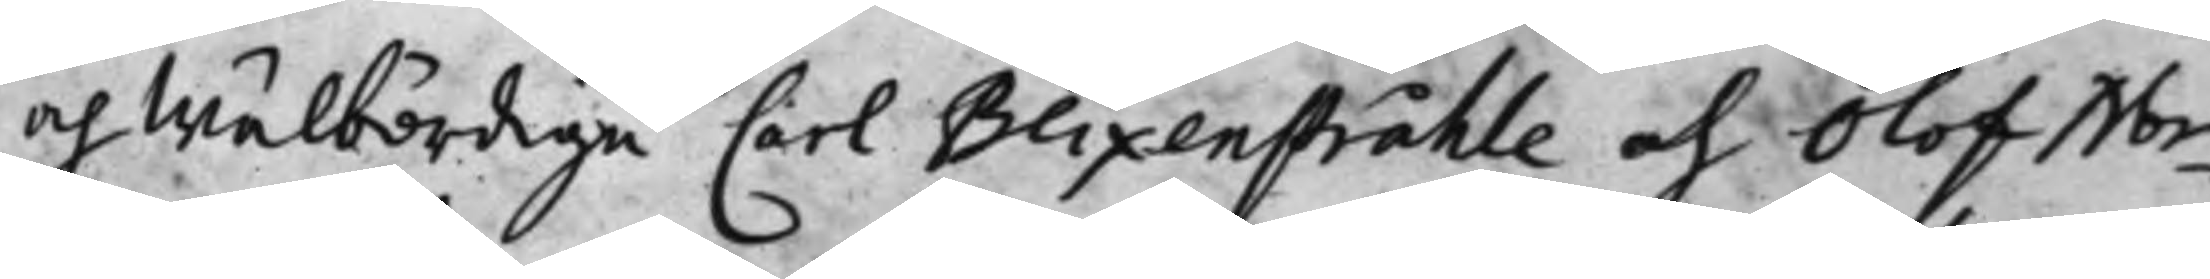och Wälbördige Carl Blixenstråhle och Olof Nor¬
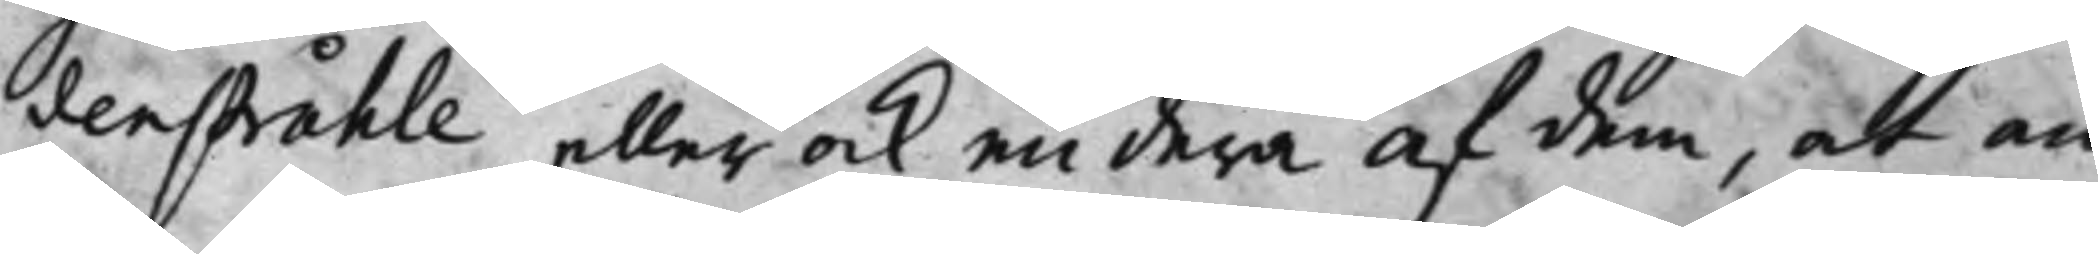denstråhle eller ock endera af dem, at an¬
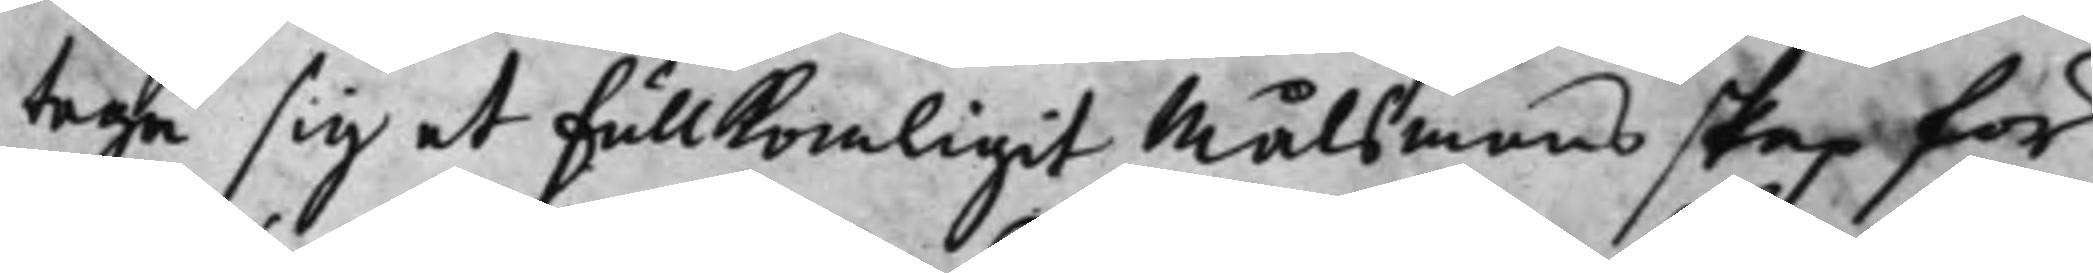taga sig et fullkomligit Målsmansskap för
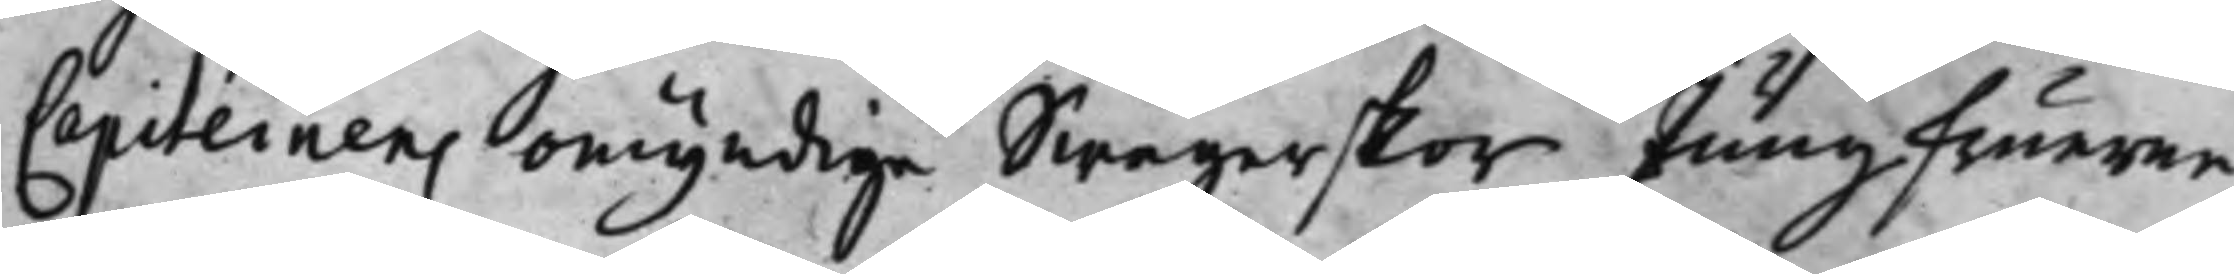Capiteinens omyndige Swägerskor Jungfuerne
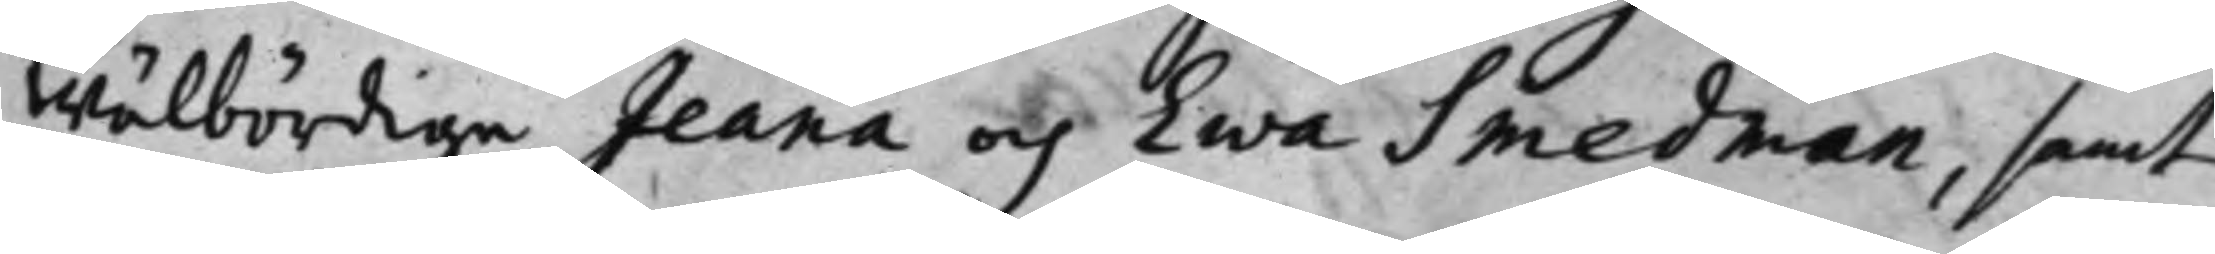Wälbördige Jeana och Ewa Smedman, samt
